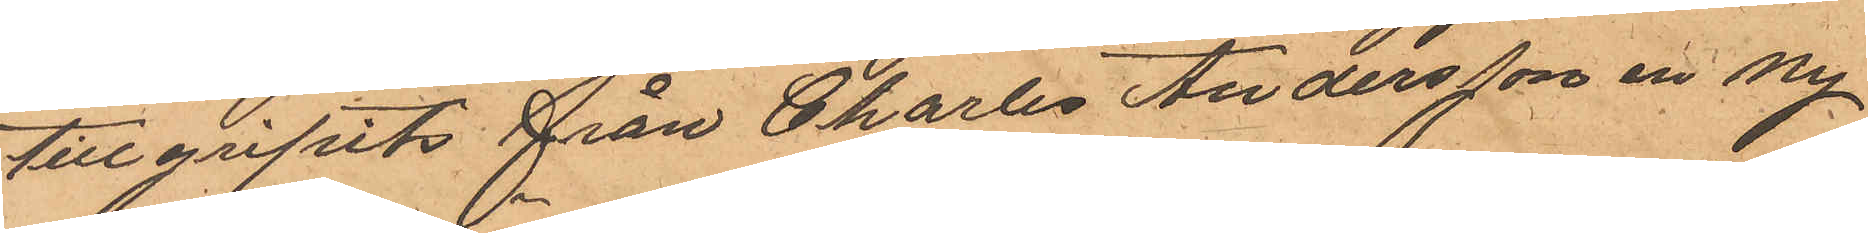tillgripits från Charles Andersson en ny
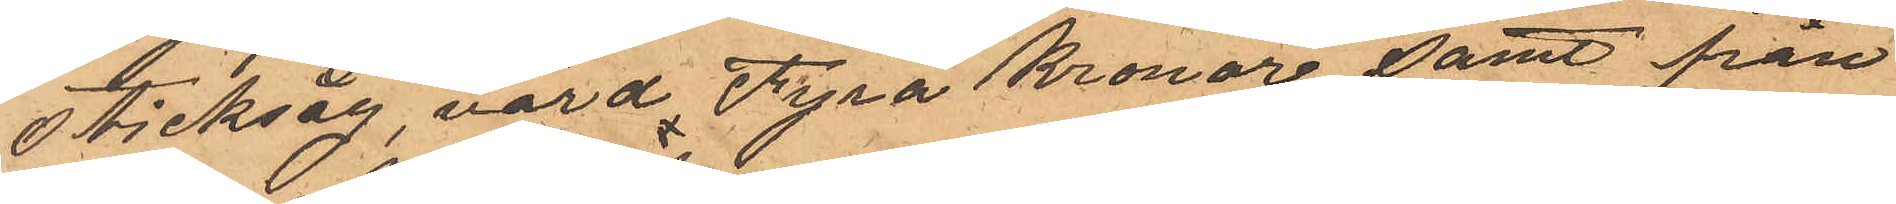sticksåg, värd Fyra Kronor, samt från
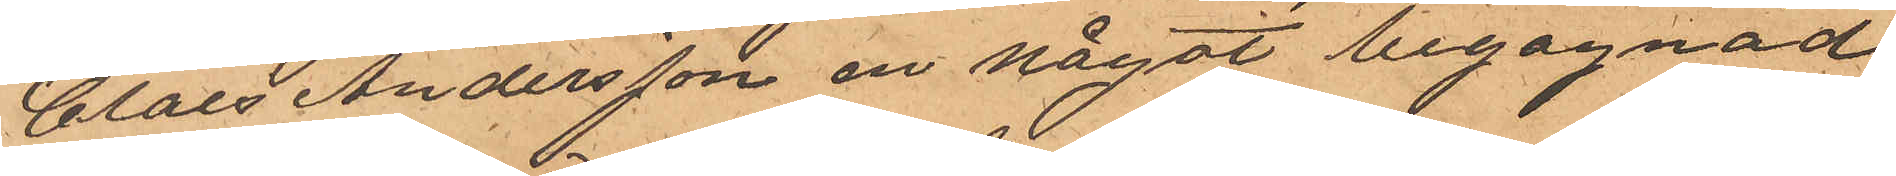Claes Andersson en något begagnad
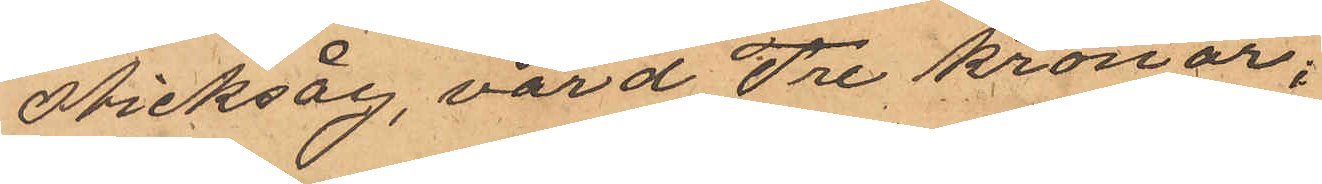sticksåg, värd Tre kronor;
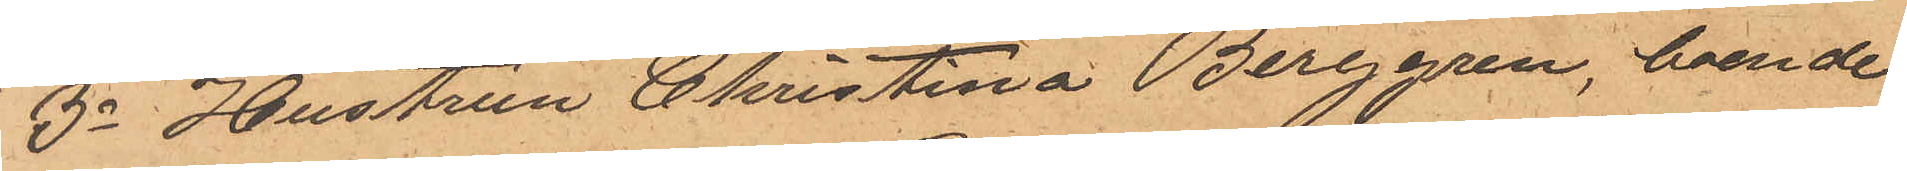3o Hustrun Christina Berggren, boende
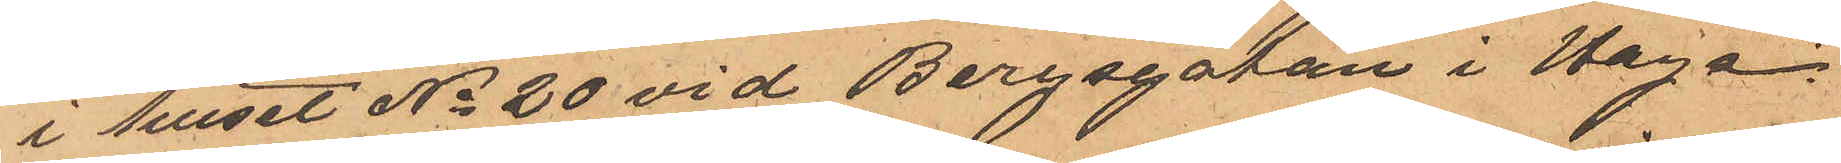i huset No 20 vid Bergsgatan i Haga
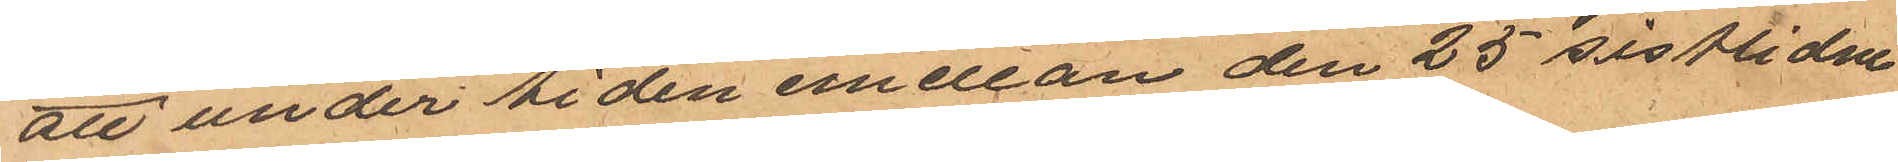att under tiden emellan den 25 sistlidne
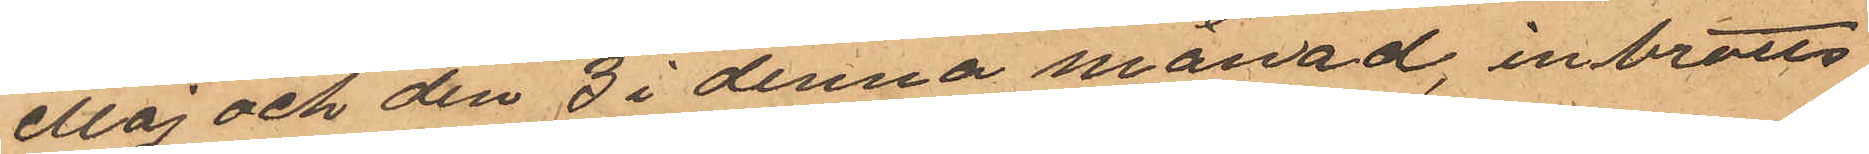Maj och den 3 i denna månad, inbrotts
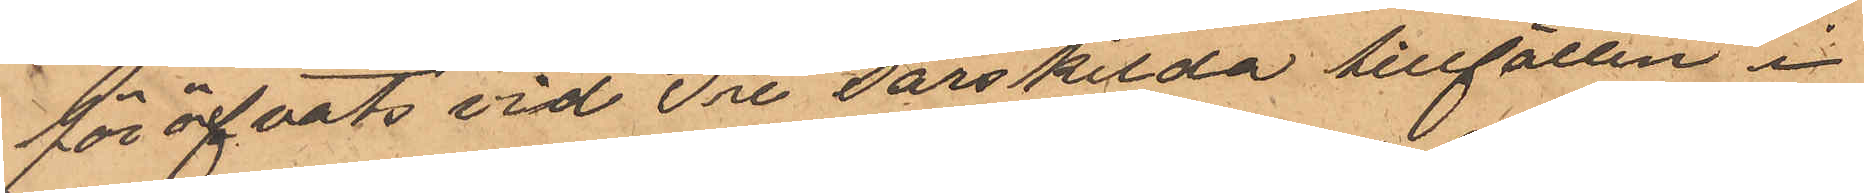föröfvats vid Tre särskilda tillfällen i
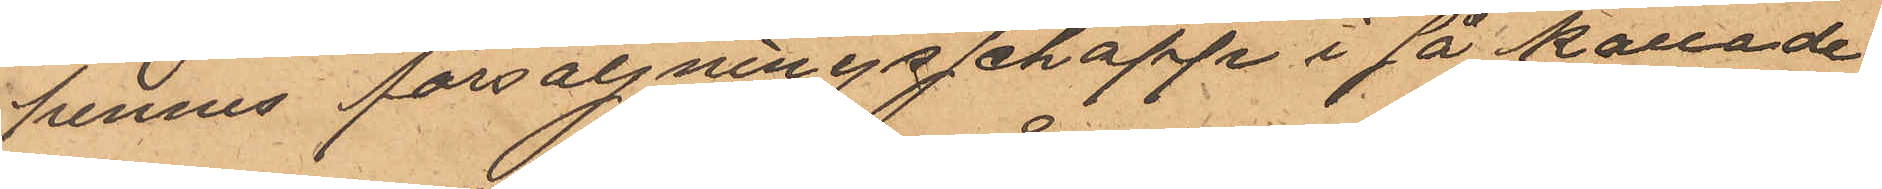hennes försäljningsschappe i så kallade
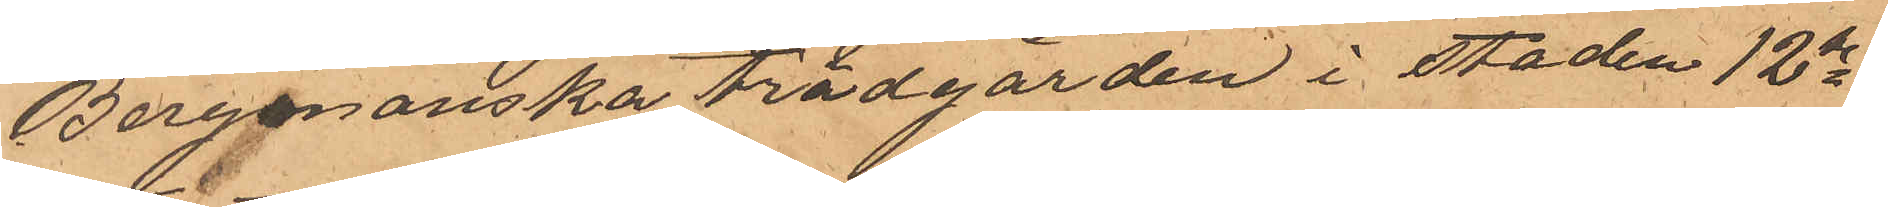Bergmanska brädgården i staden 12te
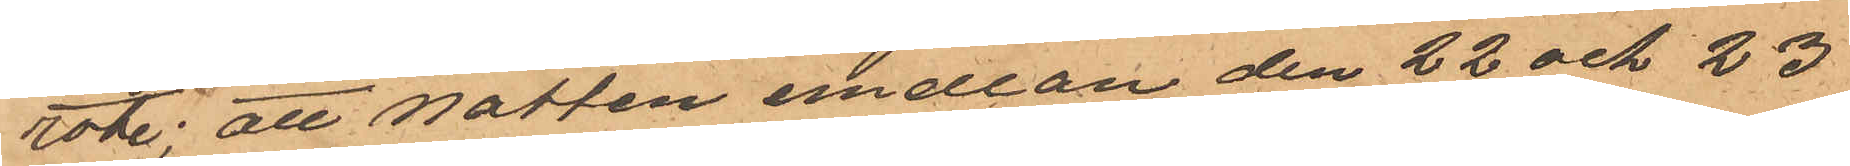rote; att natten emellan den 22 och 23
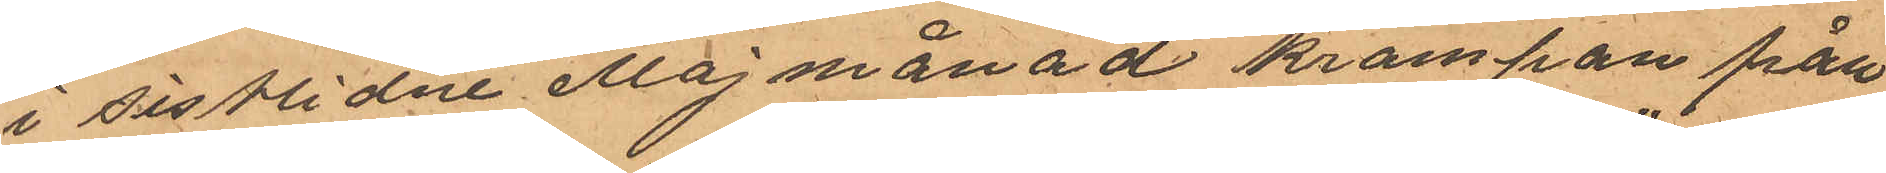i sistlidne Maj månad krampan från¬
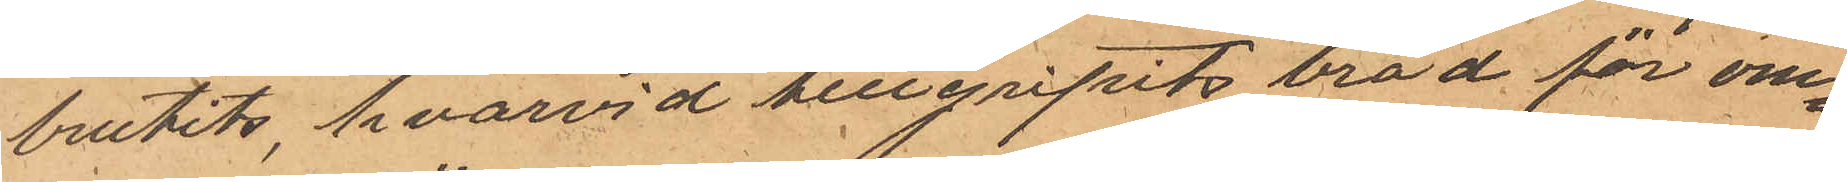brutits, hvarvid tillgripits bröd för om¬
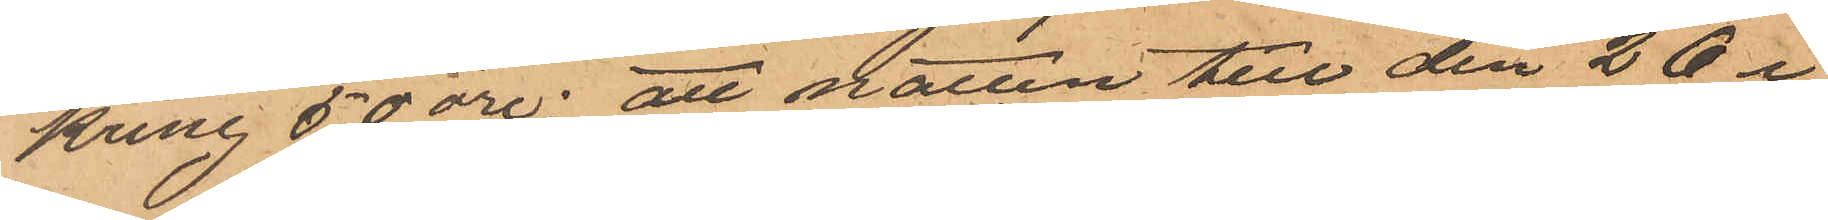kring 50 öre; att natten till den 26 i
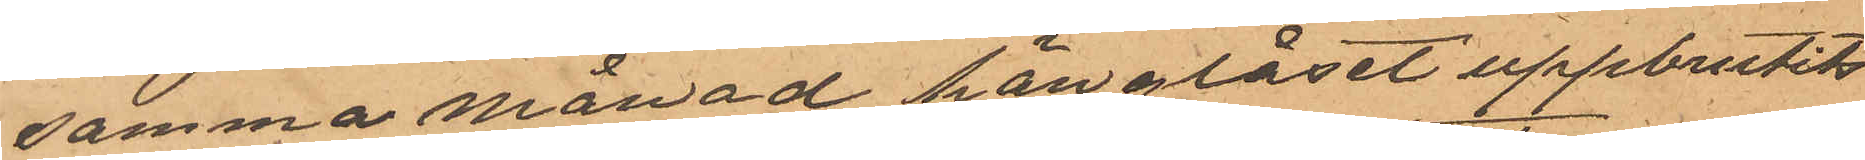samma månad hänglåset uppbrutits
